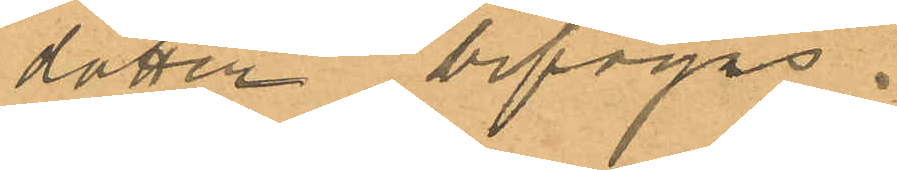dotter bifogas.
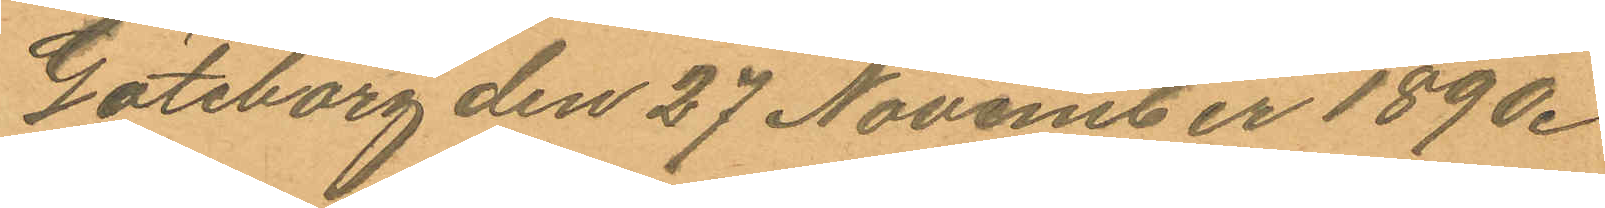Göteborg den 27 November 1890.
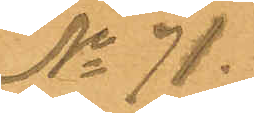No 71.
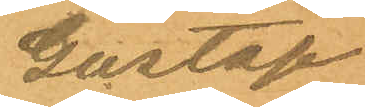Gustaf
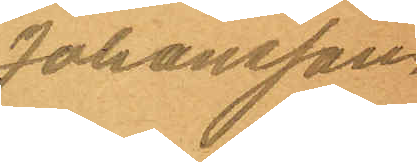Johansson.
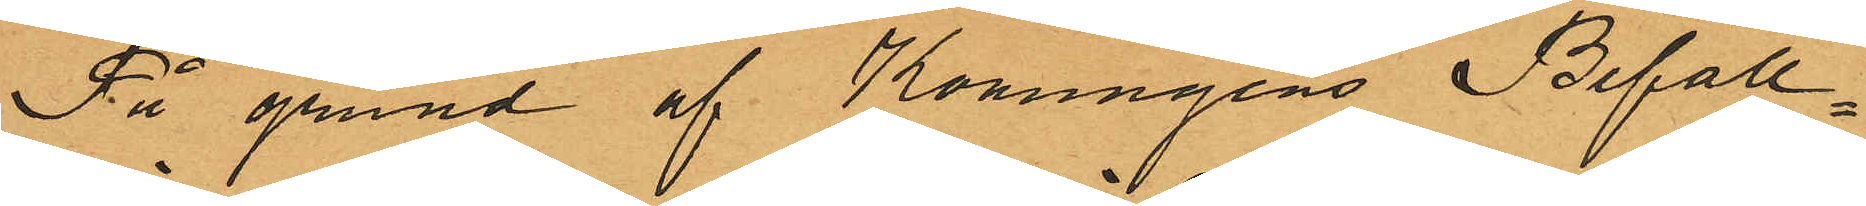På grund af Konungens Befall¬
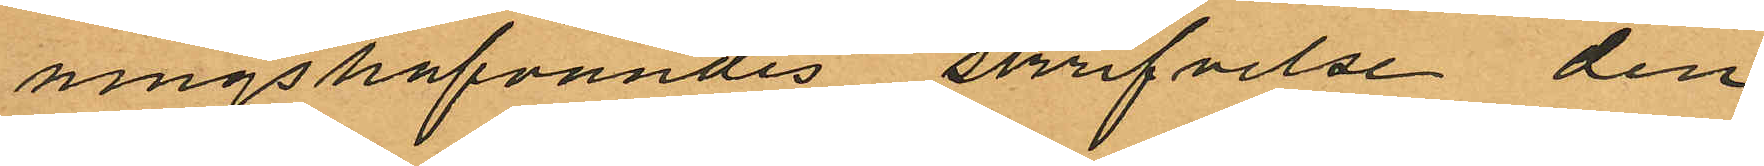ningshafvandes skrifvelse den
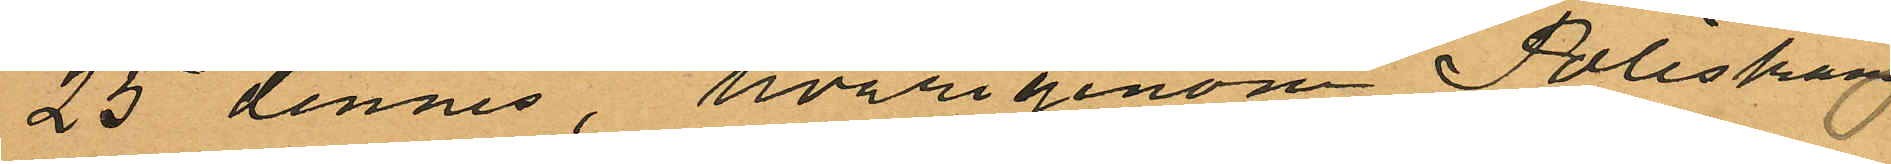25 dennes, hvarigenom Poliskam¬
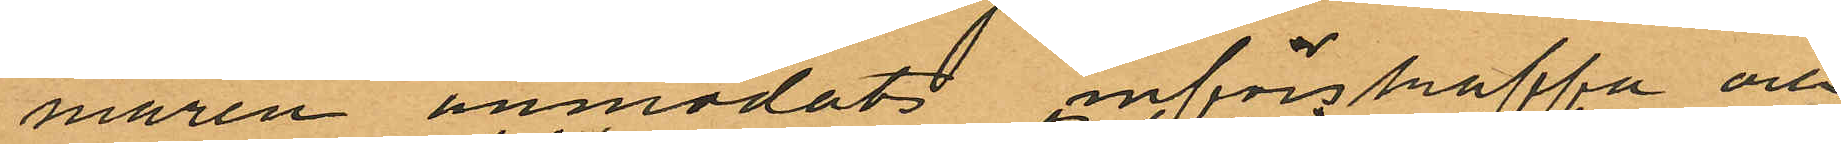maren anmodats införskaffa och
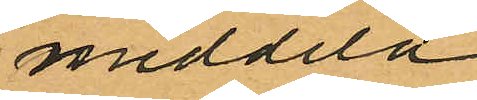meddela
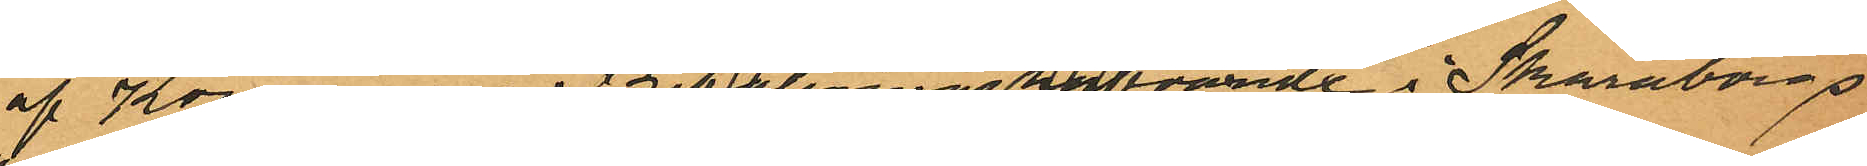af Konungens Befallningshafvande i Skaraborgs
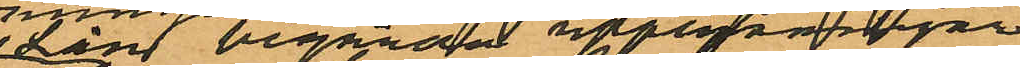Län begärda upplysningar
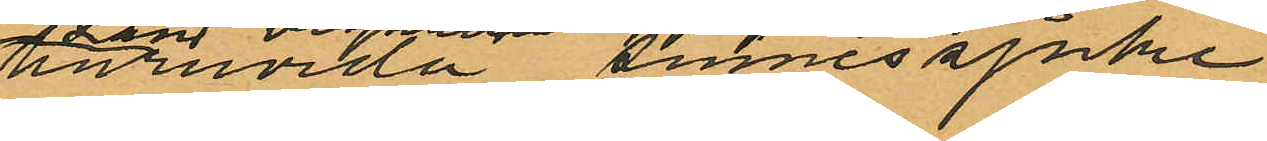huruvida sinnessjuke
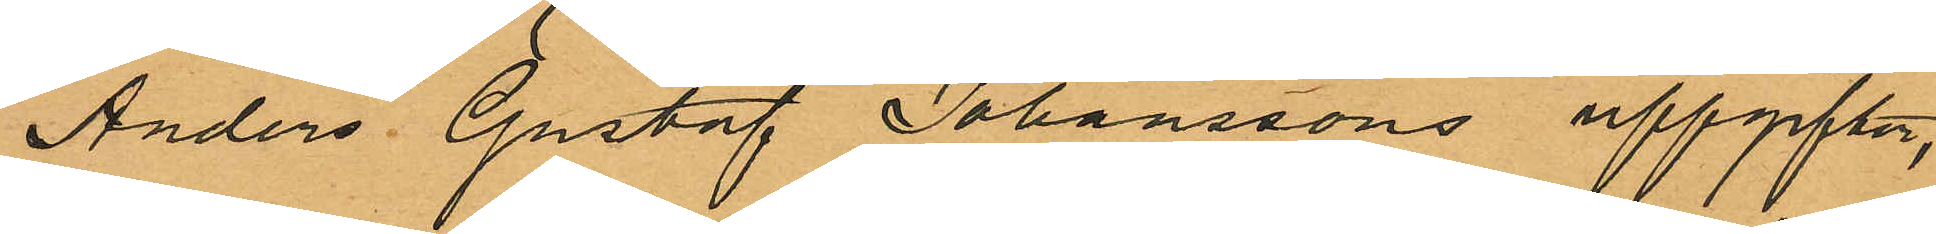Anders Gustaf Johanssons uppgifter,
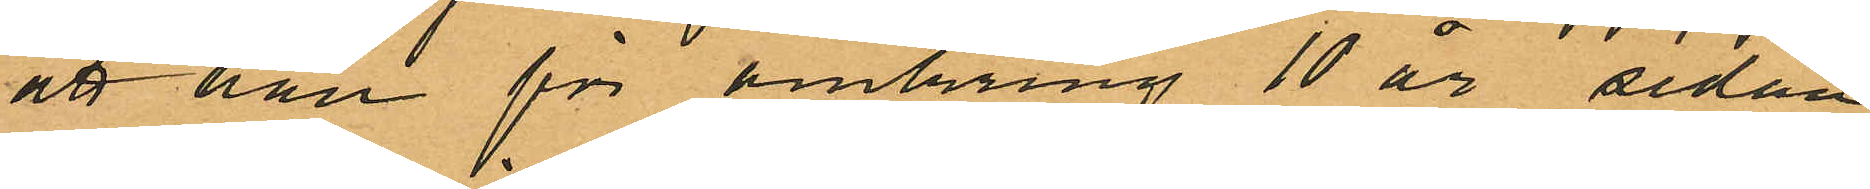att han för omkring 10 år sedan
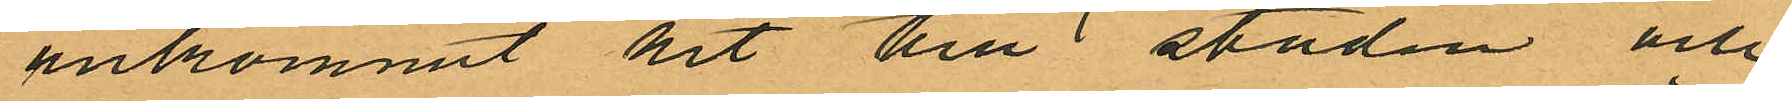ankommit hit till staden och
